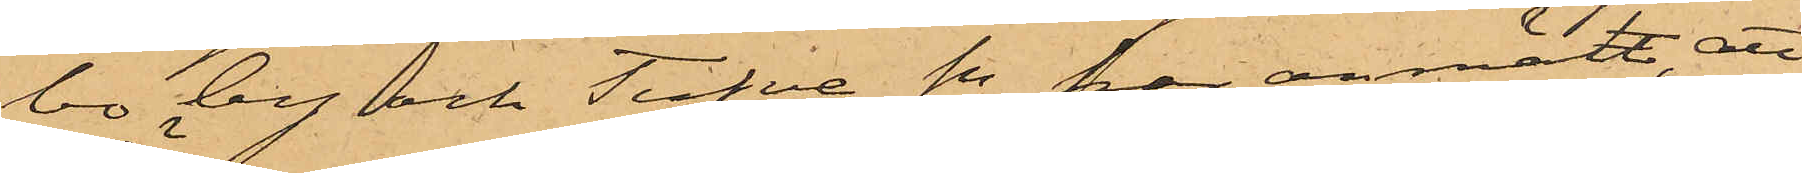bo by och Tufve Sn har anmält att
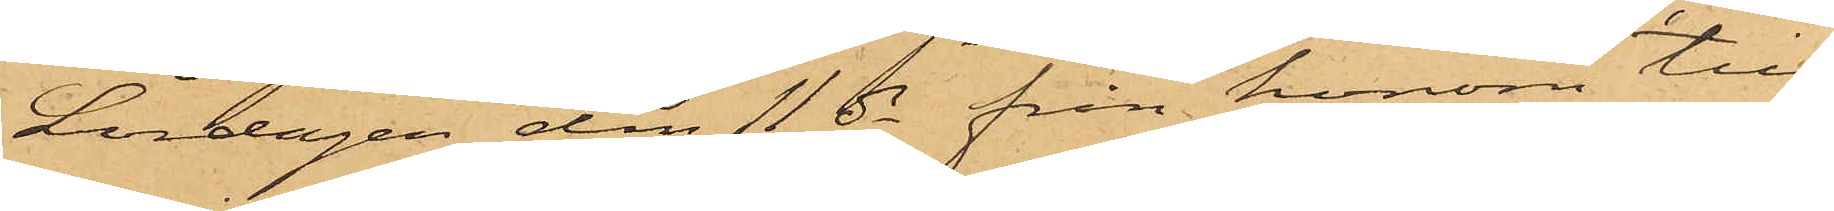Lördagen den 11 ds från honom till
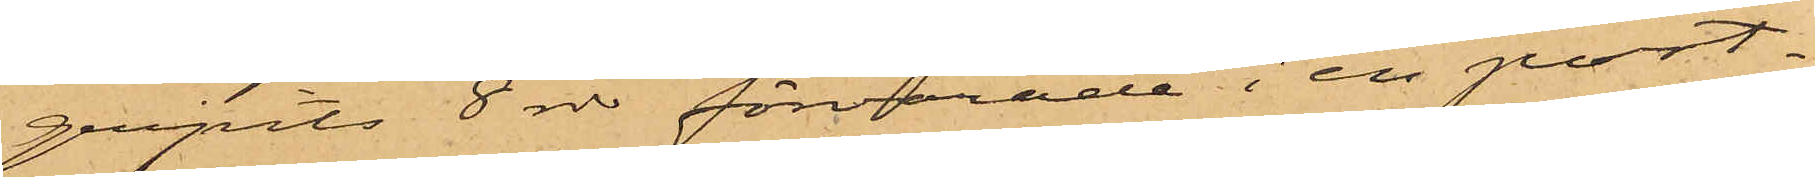gripits 8 rdr förvarade i en port¬
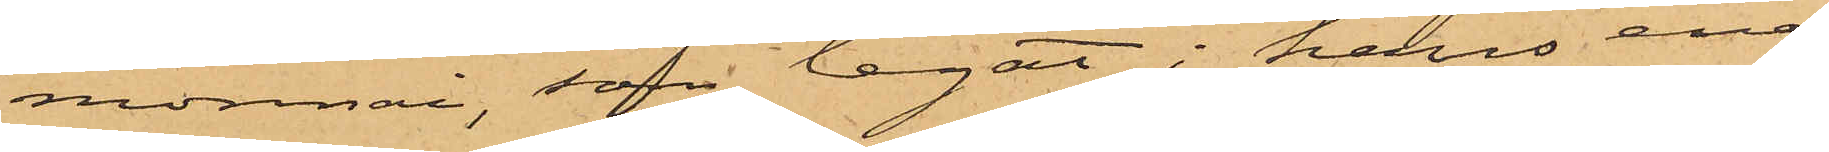monnai, som legat i hans ena
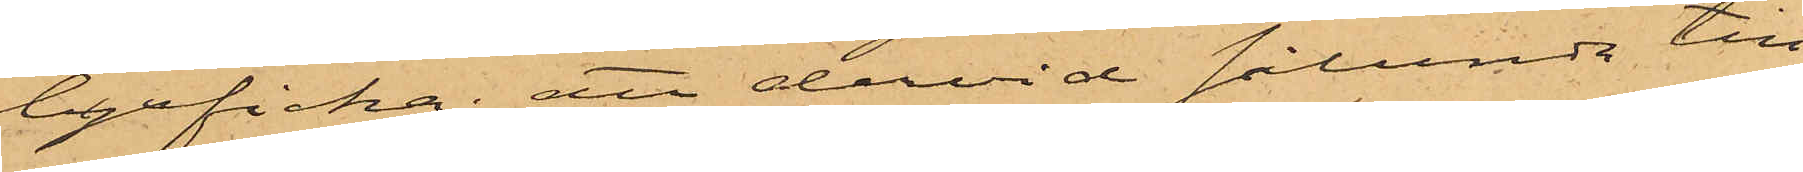byxficka; att dervid sålunda till¬
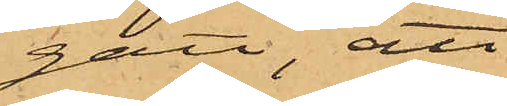gått, att
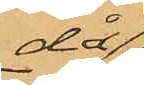då
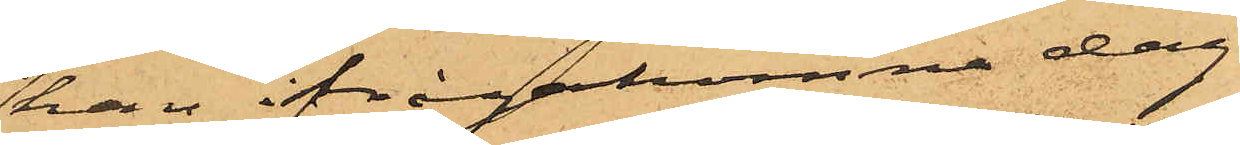han ifrågakomne dag
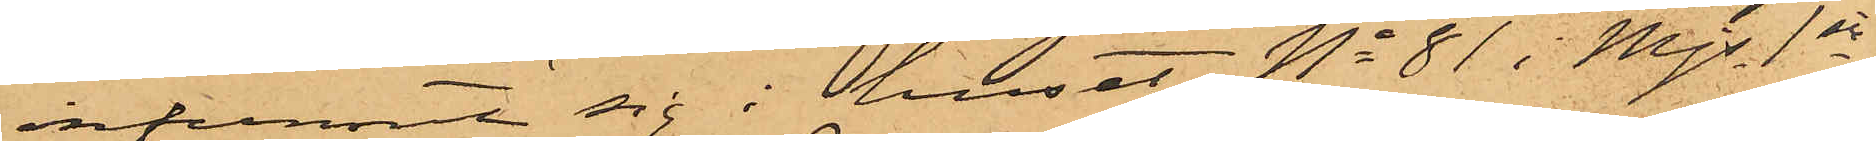infunnit sig i huset No 81 i Mjs 1sta
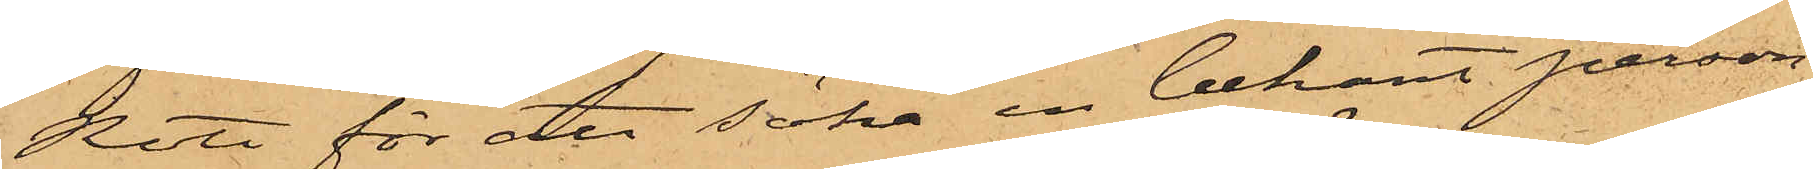Rote för att söka en bekant person,
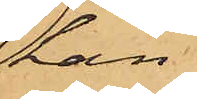han
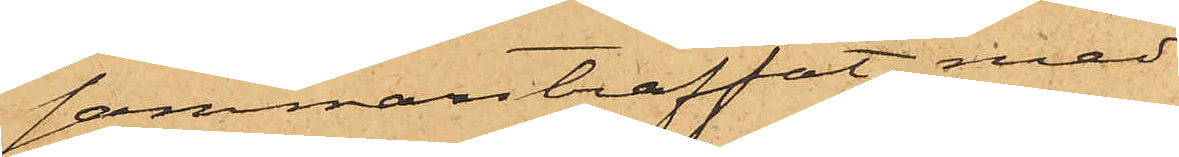sammanträffat med
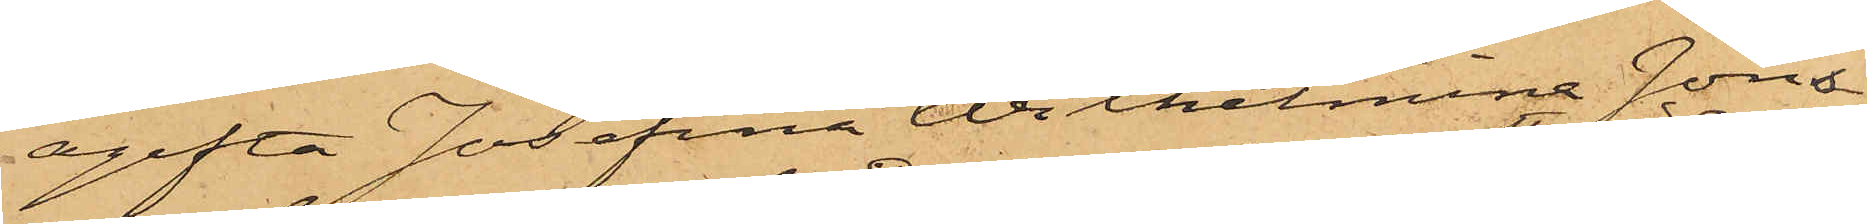ogifta Josefina Wilhelmina Jöns¬
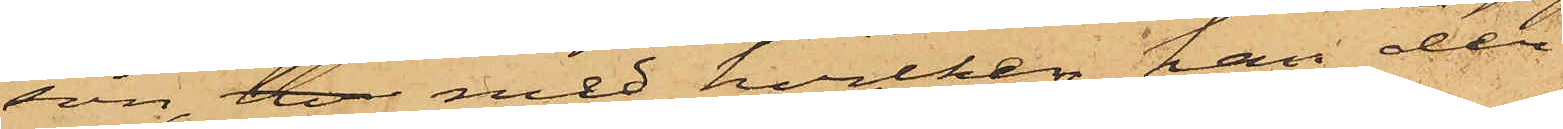son, hv med hvilken han der
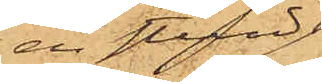en stund
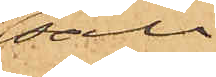säll¬
